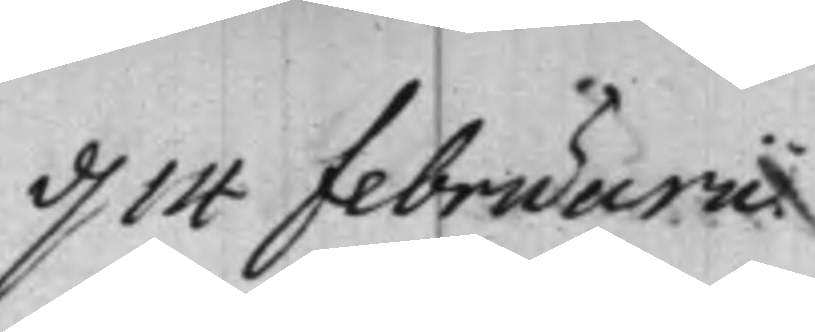d. 14 februarii.
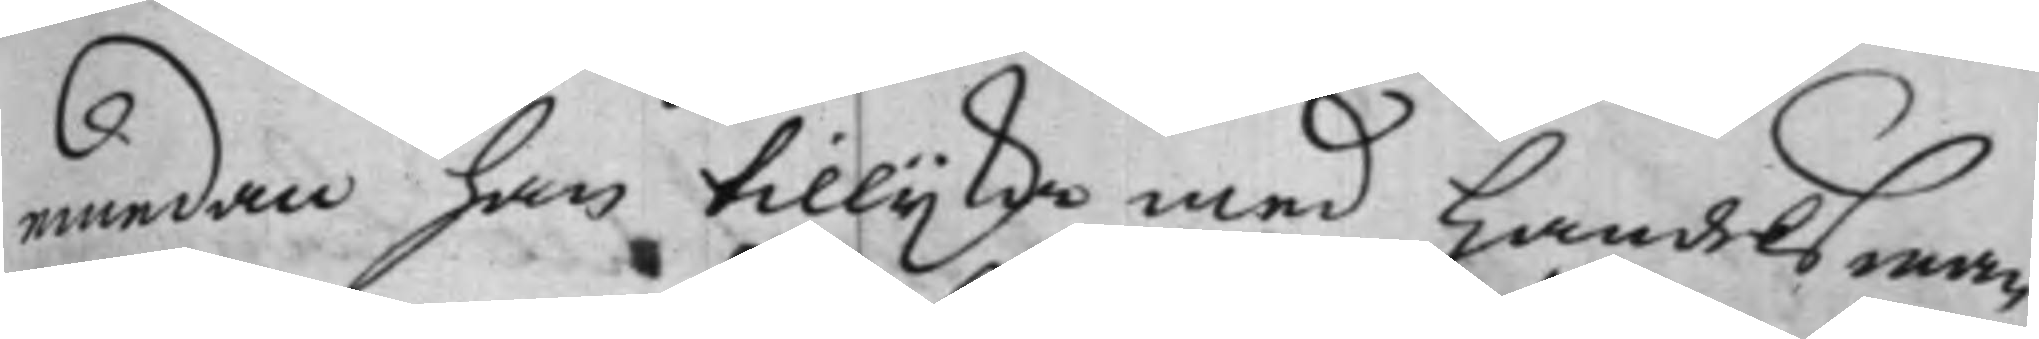emedan han tillijka med Handelsman
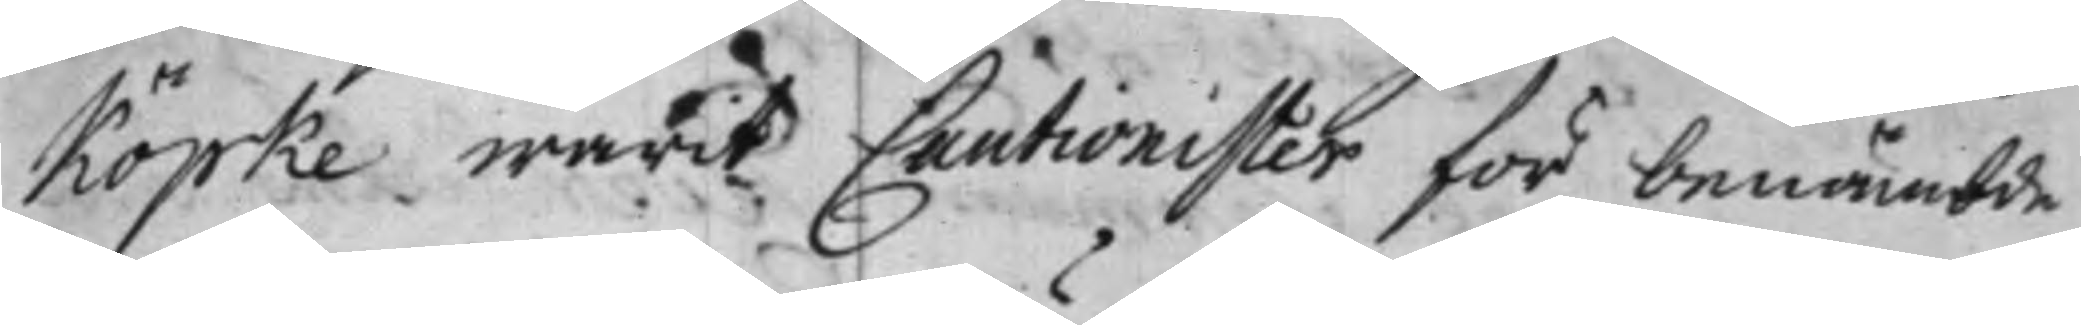Köpke warit Cautionister för benämbde
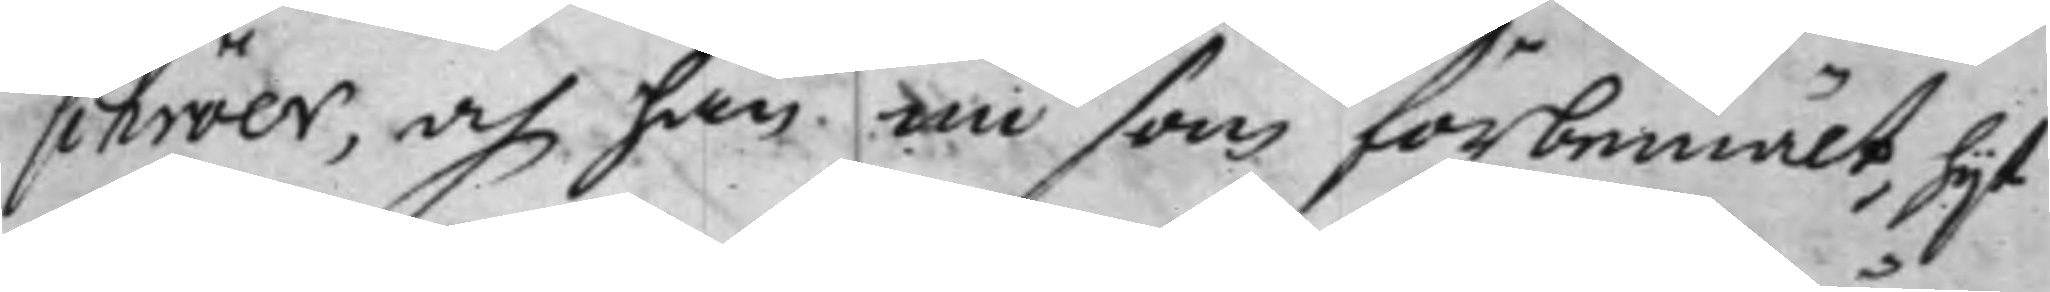schröer, och han nu som förbemält, hijt
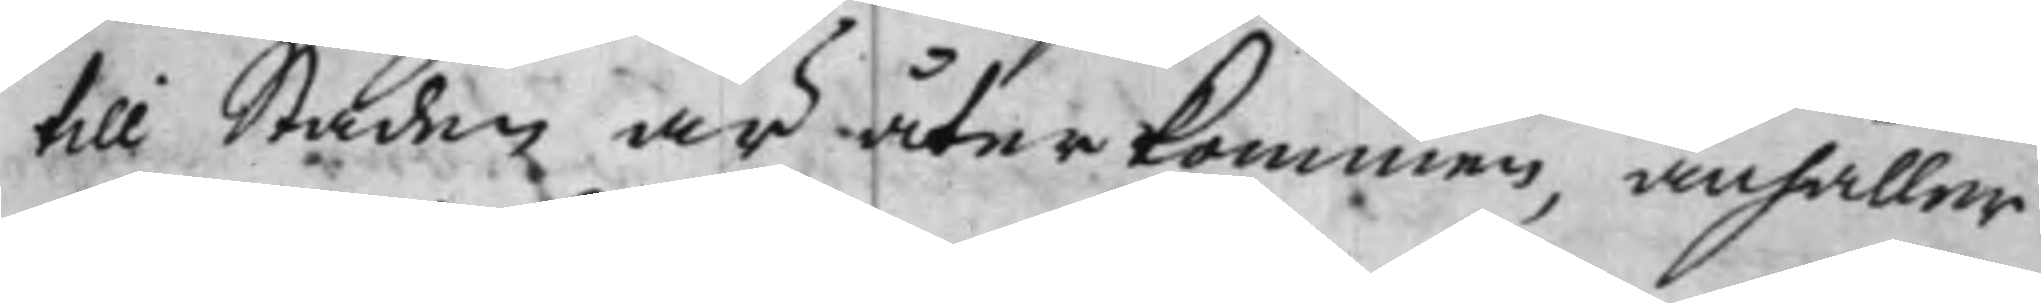till Staden är återkommen, anhåller
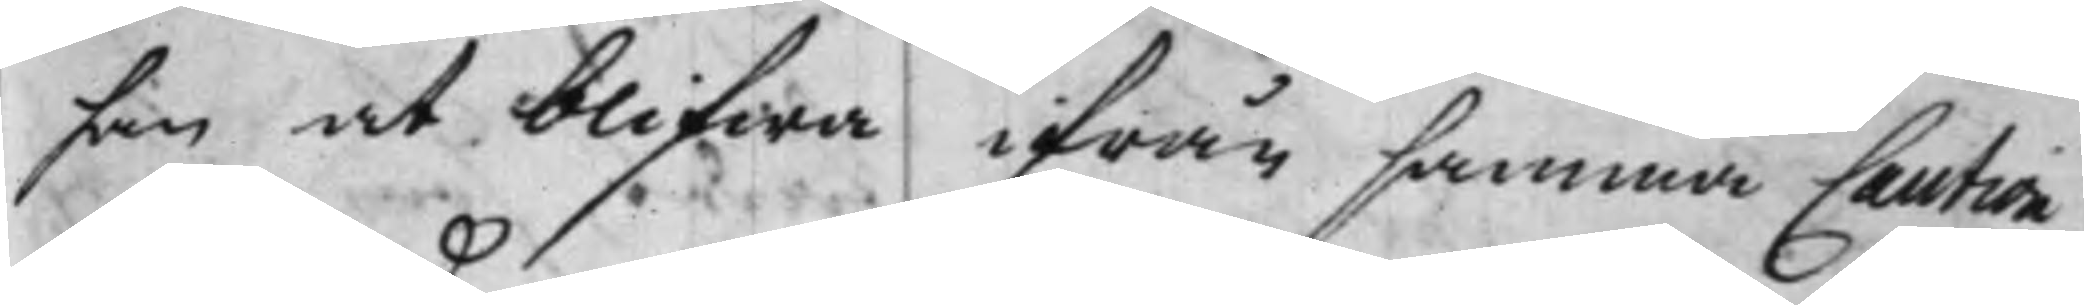han at blifwa ifrån samma Caution
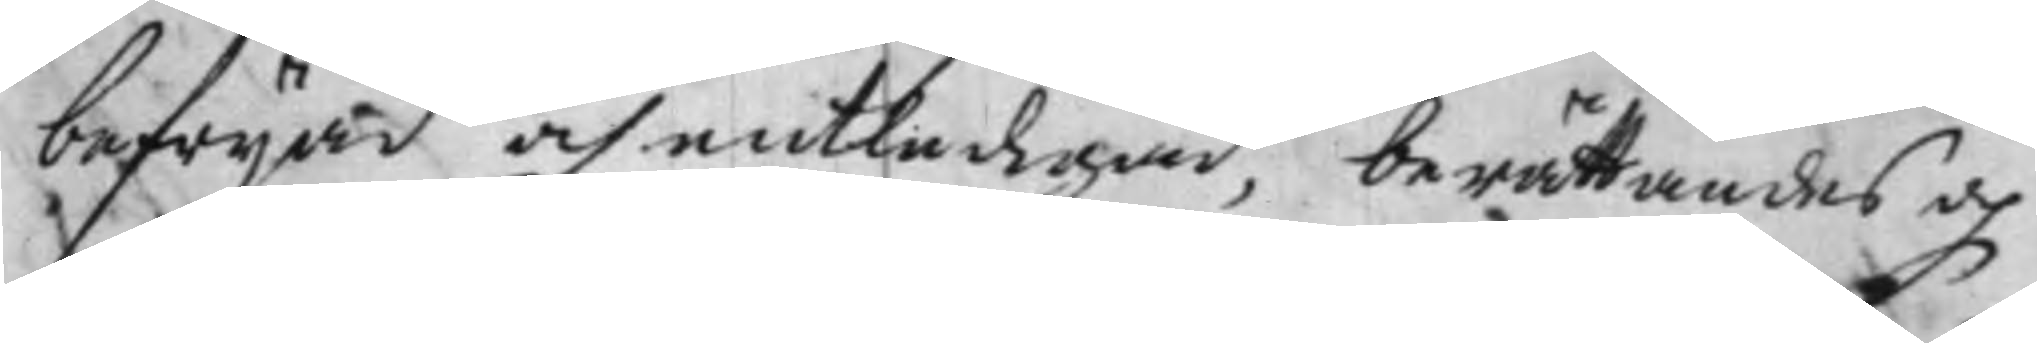befrijad och entledigad, berättandes och
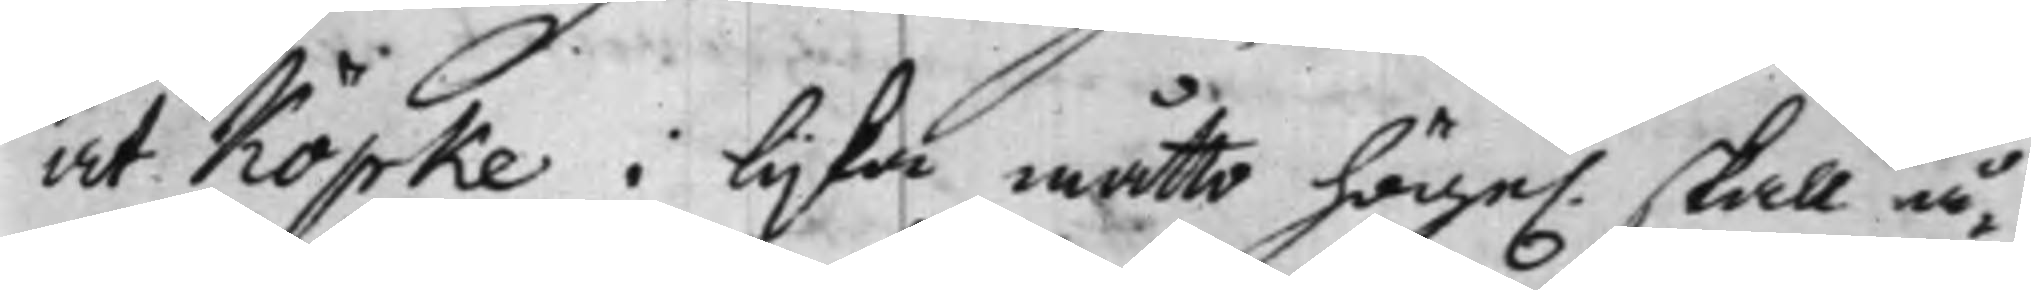at Köpke i lijka måtto högel. skall å¬
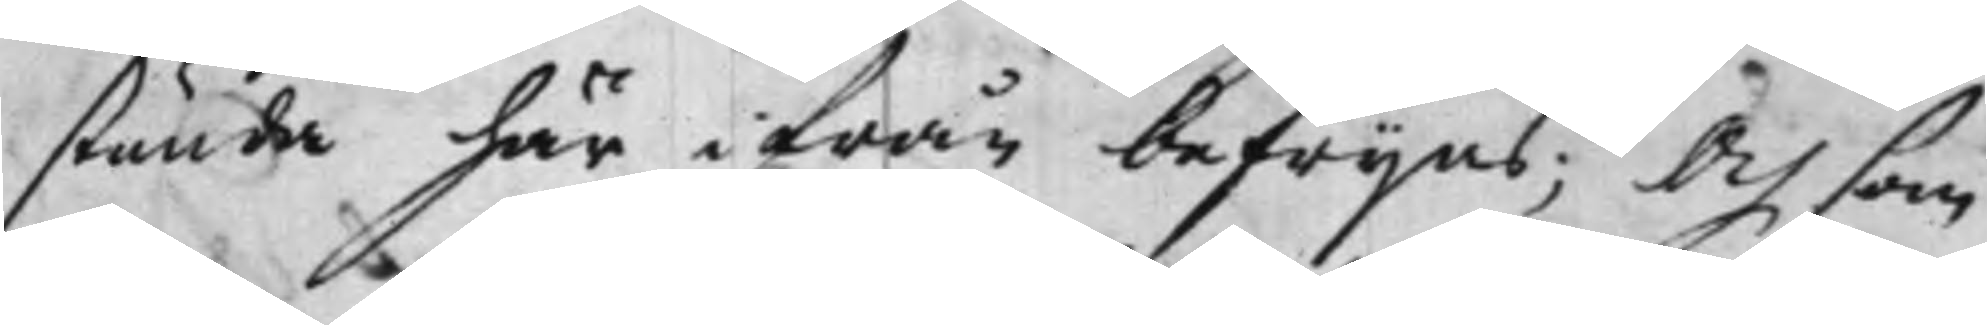stunda här ifrån befrijes; Och som
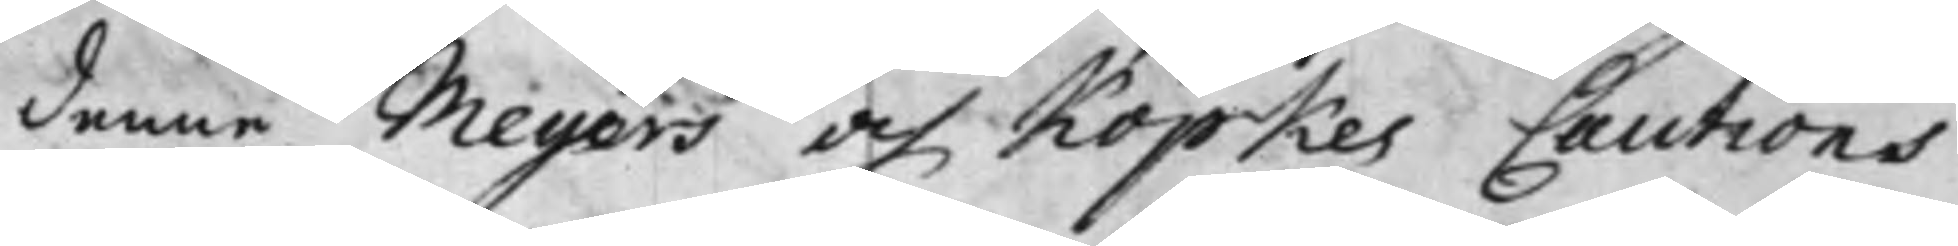denne Meyers och Köpkes Cautions
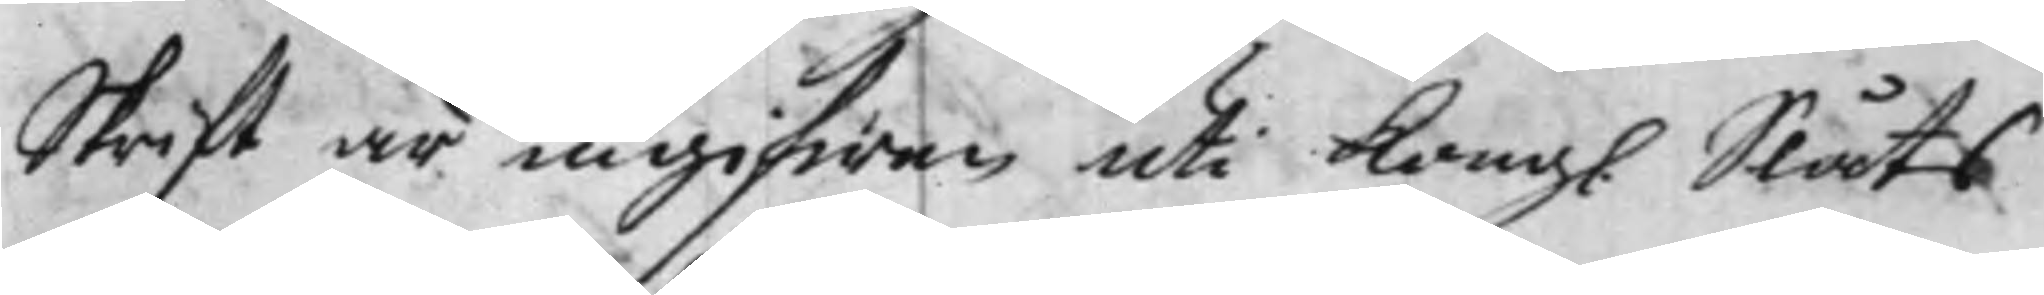Skrift är ingifwen uti Kongl. Slåts
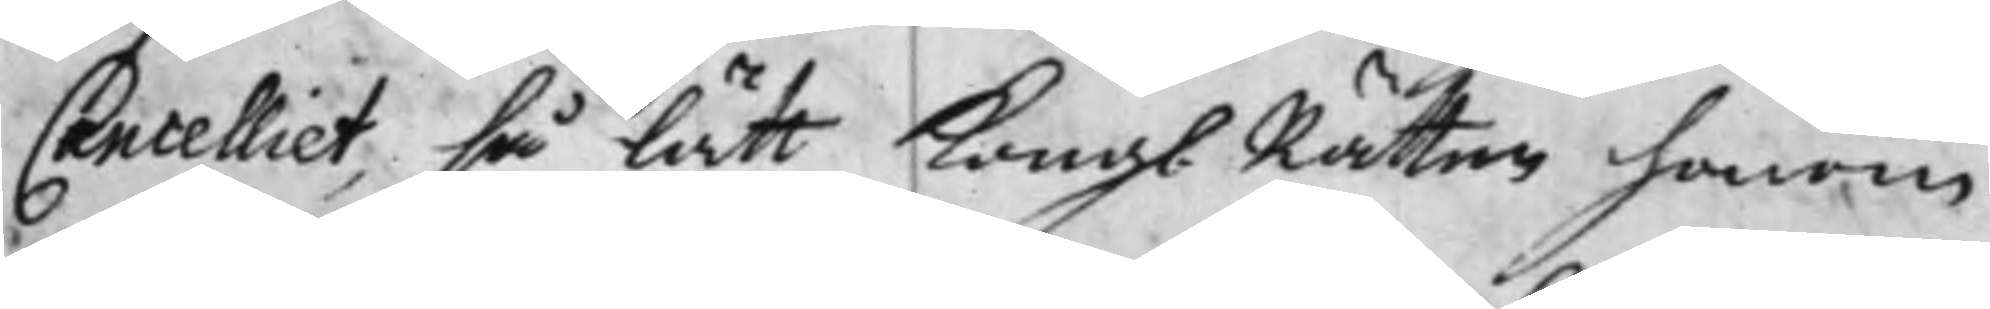Cancelliet, så lätt Kongl. Rätten honom
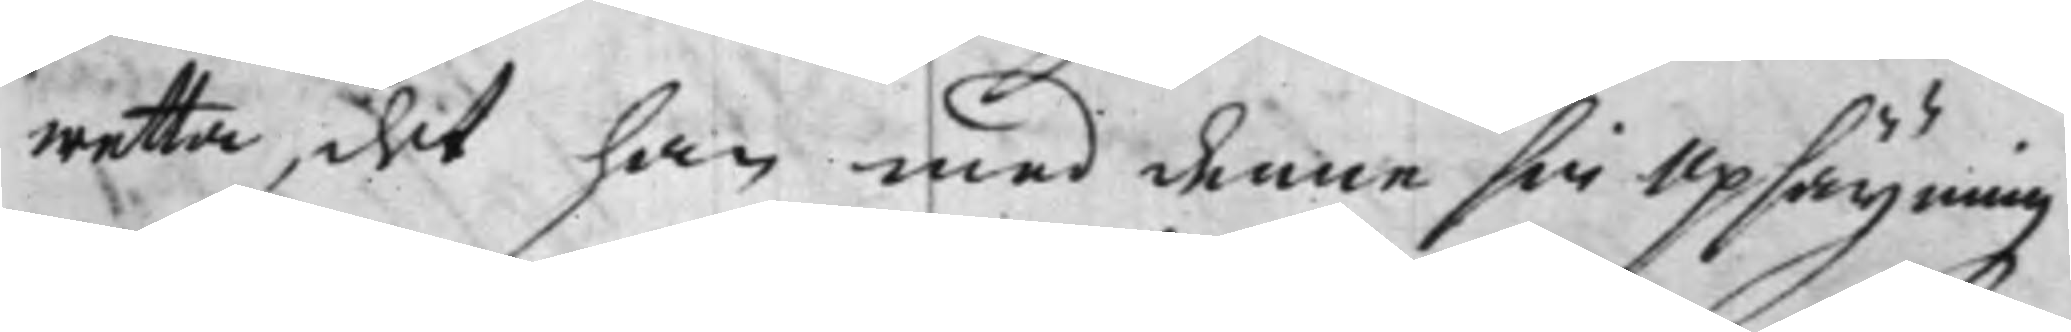wetta, det han med denne sin Upsägning
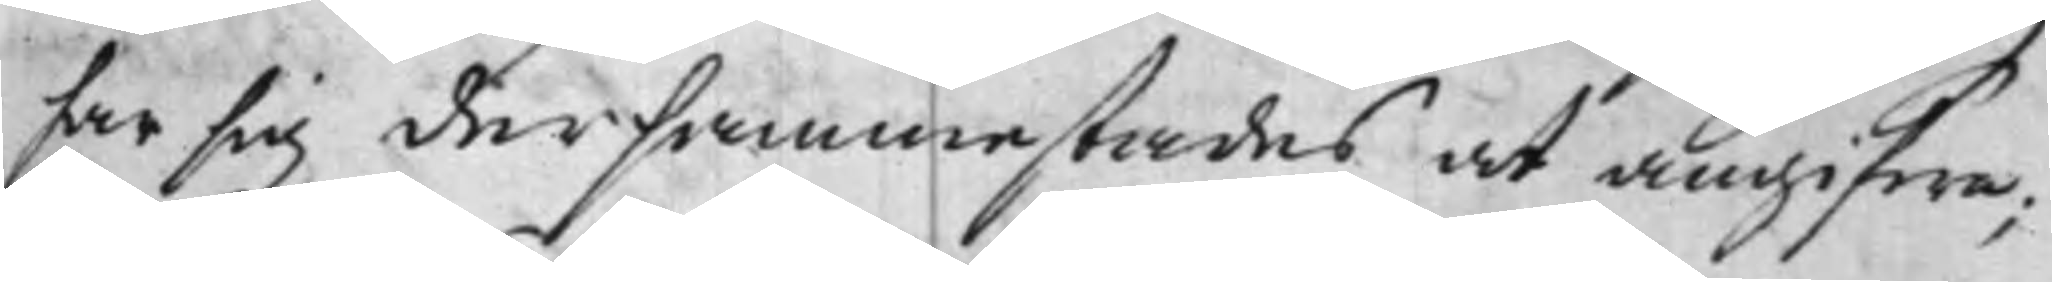har sig dersammestades at angifwa;
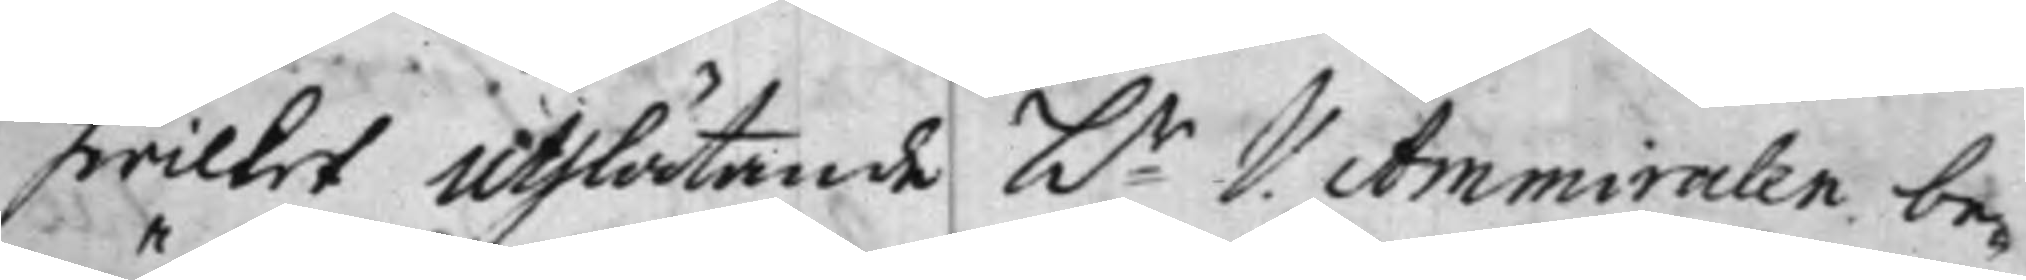hwilket uthlåtande hr V. Ammiralen be¬
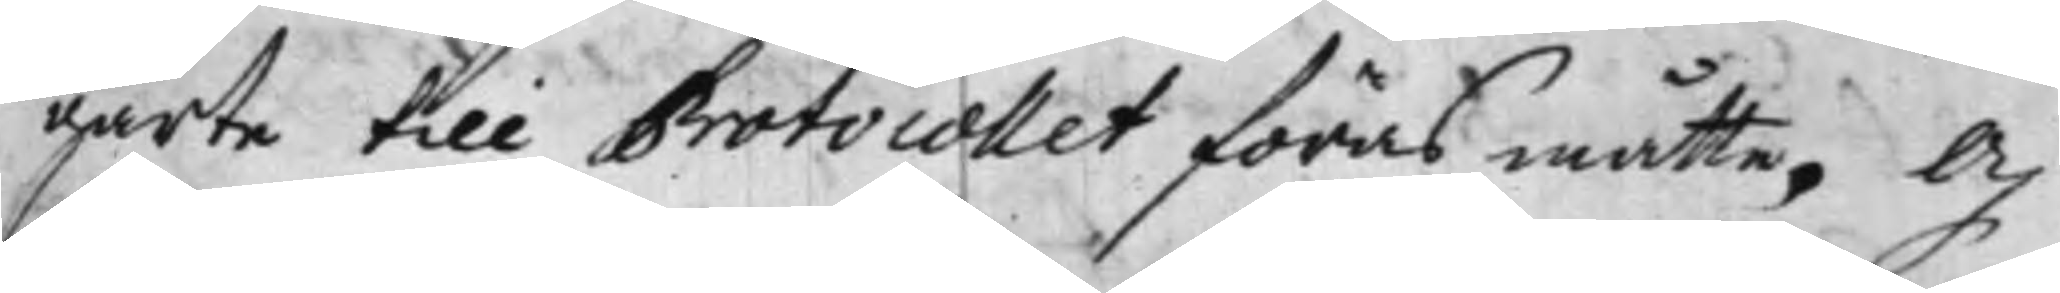gärte till Protocollet föras måtte. Och
